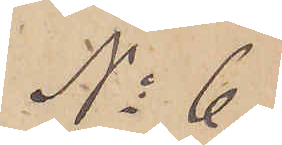No 6.
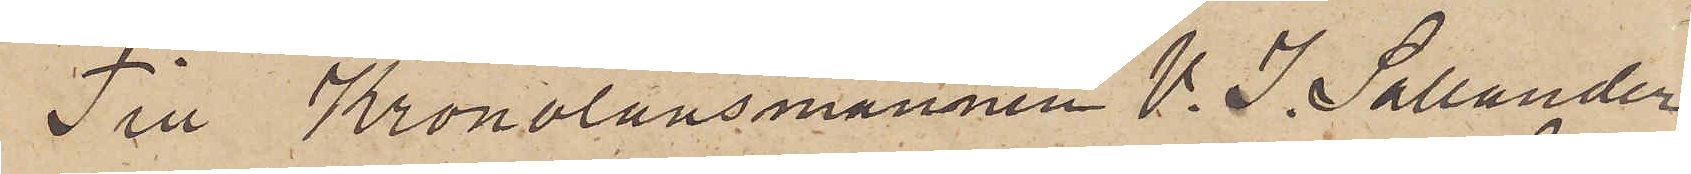Till Kronolänsmannen V. I. Sallander
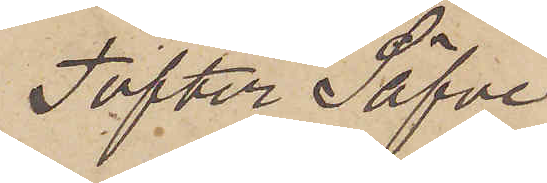Tofter Säfve.
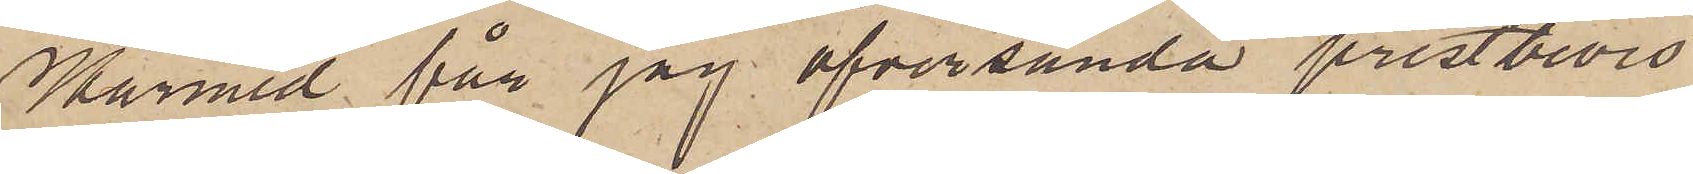Härmed får jag öfversända prestbevis
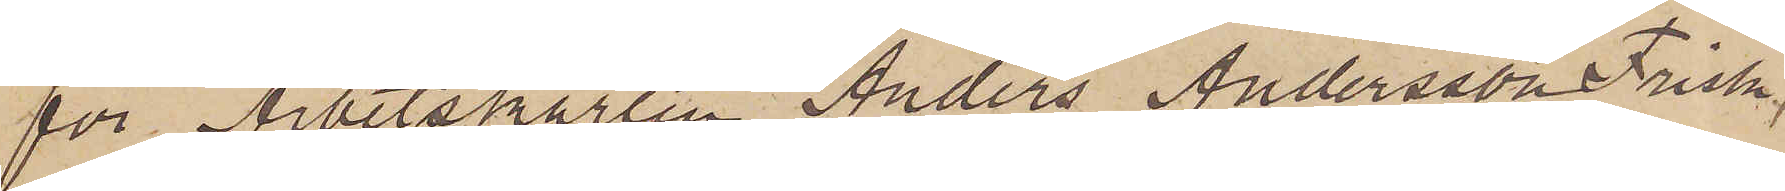för Arbetskarlen Anders Andersson Frisk,
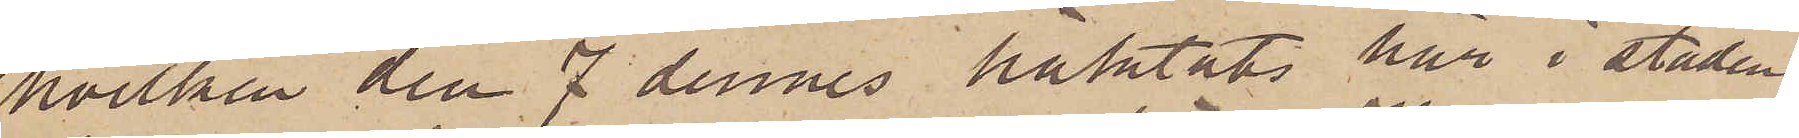hvilken den 7 dennes häktats här i staden
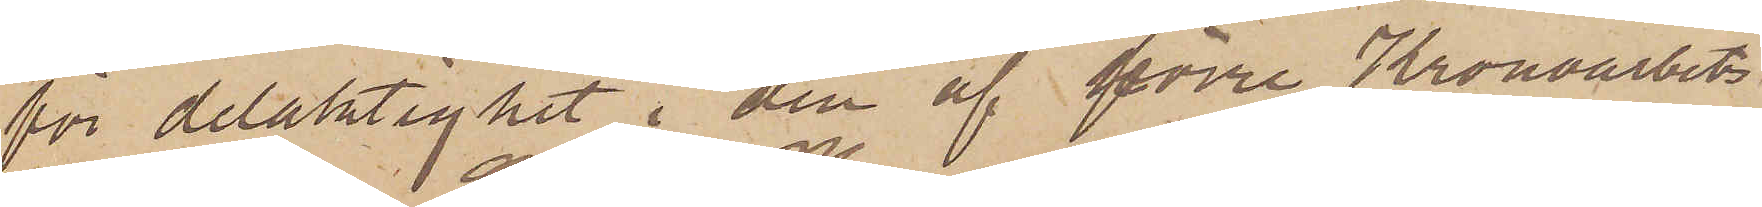för delaktighet i den af förre Kronoarbets¬
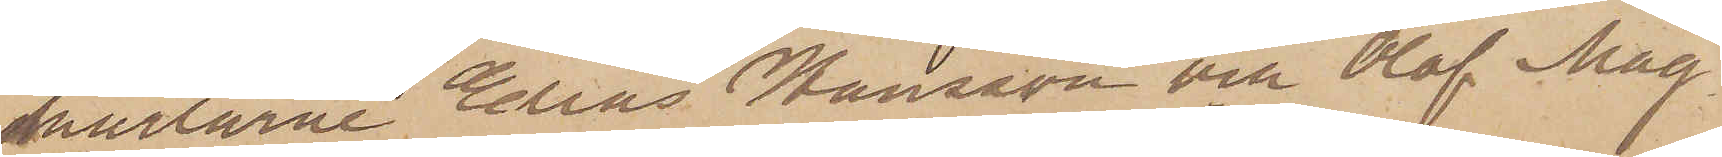karlarne Elias Hansson och Olof Mag¬
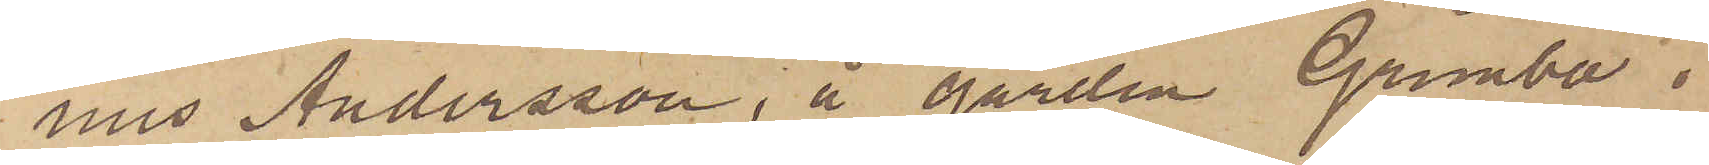nus Andersson, å gården Grimbo i
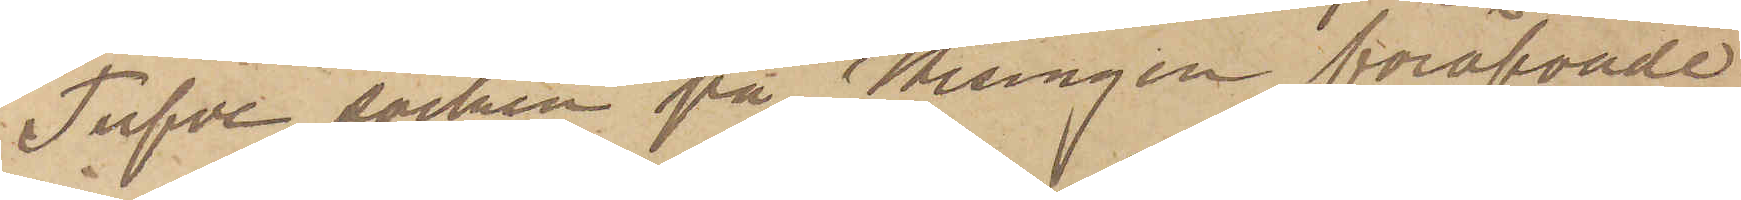Tufve socken på Hisingen föröfvade
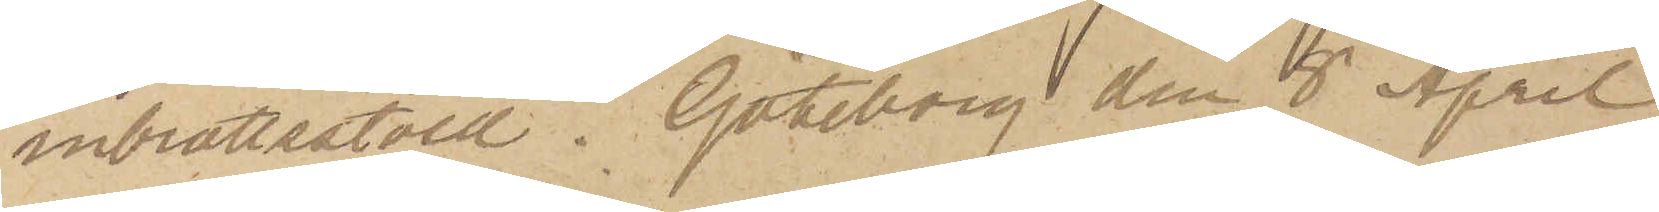inbrottsstöld. Göteborg den 8 April
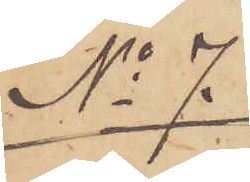No 7.
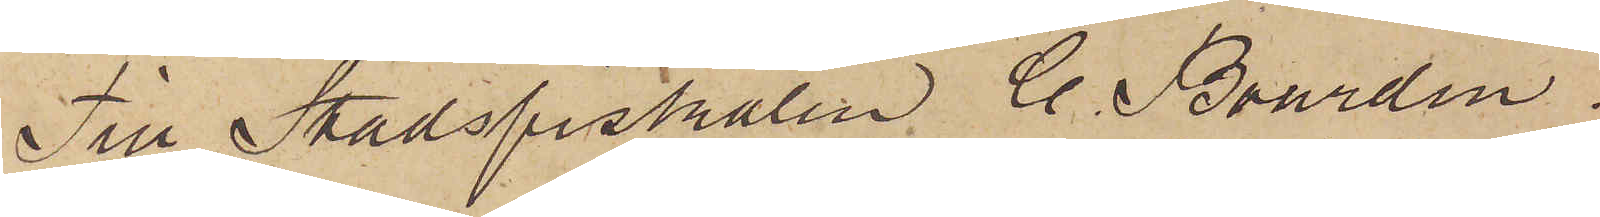Till Stadsfiskalen C. Bourdin.
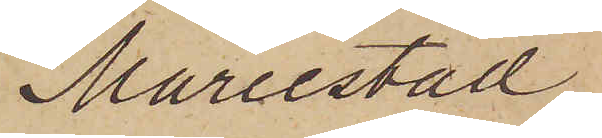Mariestad.
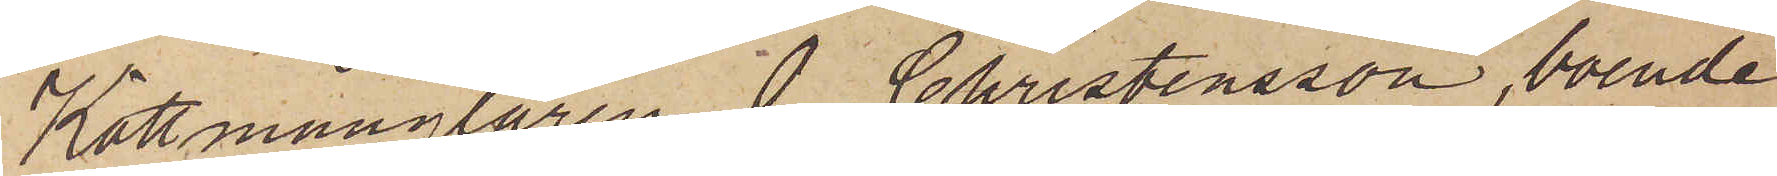Köttmånglaren I. Christensson, boende
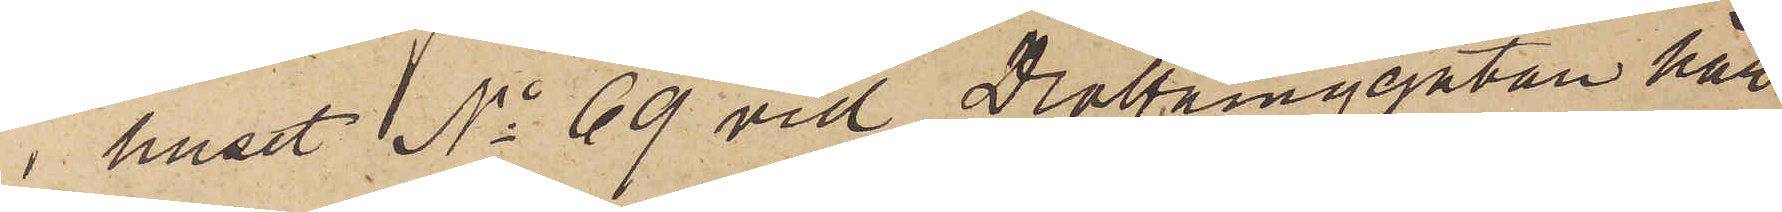i huset No 69 vid Drottninggatan här
